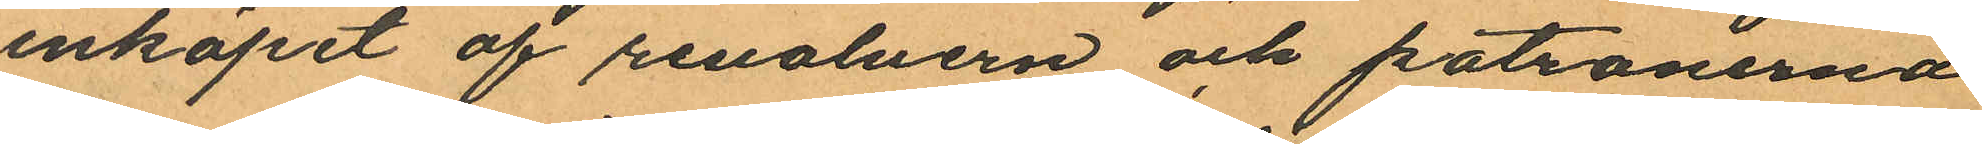inköpet af revolvern och patronerna
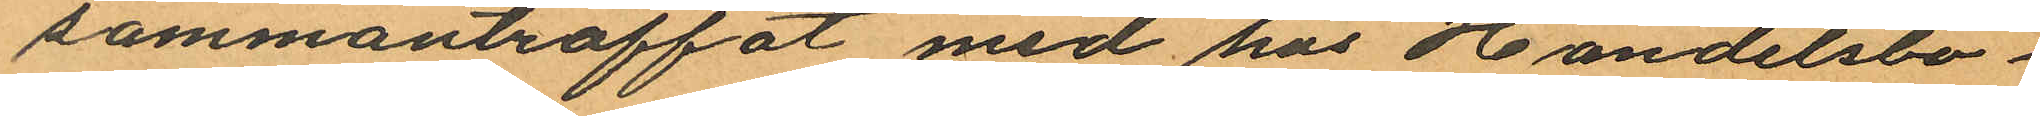sammanträffat med hos Handelsbo¬
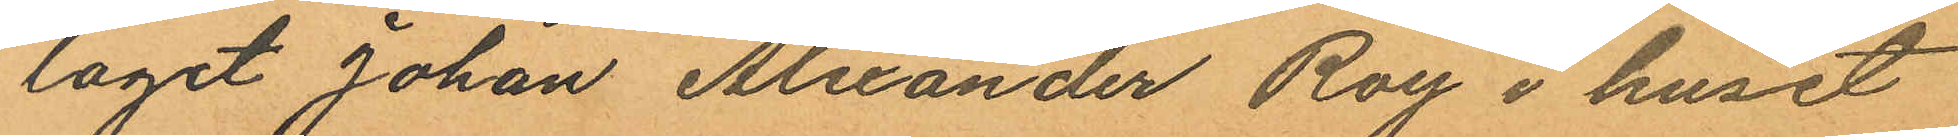laget Johan Alexander Roy i huset
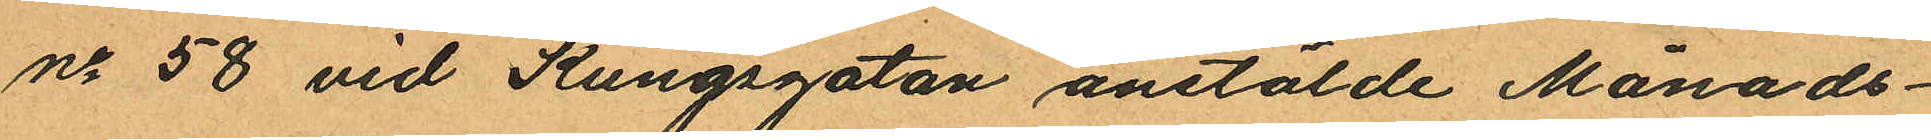No 58 vid Kungsgatan anstälde Månads¬
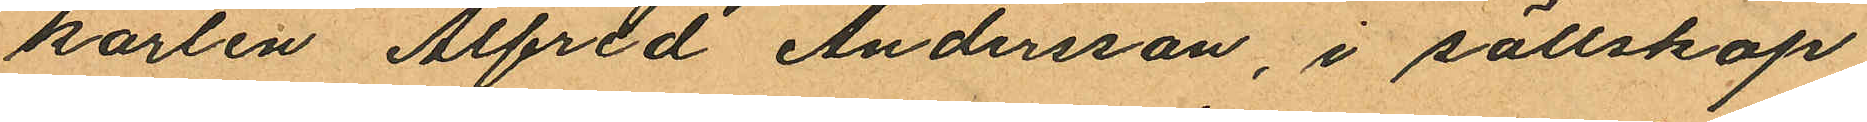karlen Alfred Andersson, i sällskap
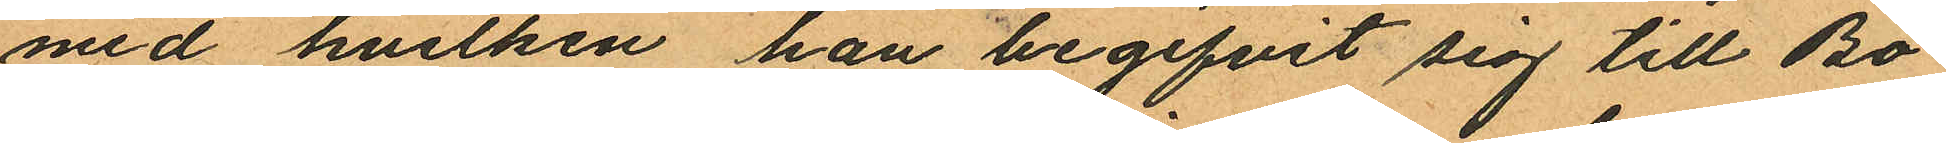med hvilken han begifvit sig till Bo¬
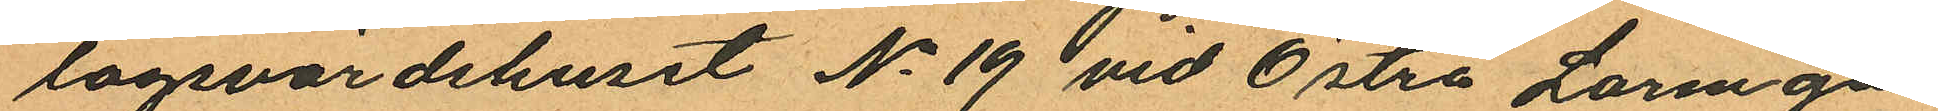lagsvärdshuset No 19 vid Östra Larmga¬
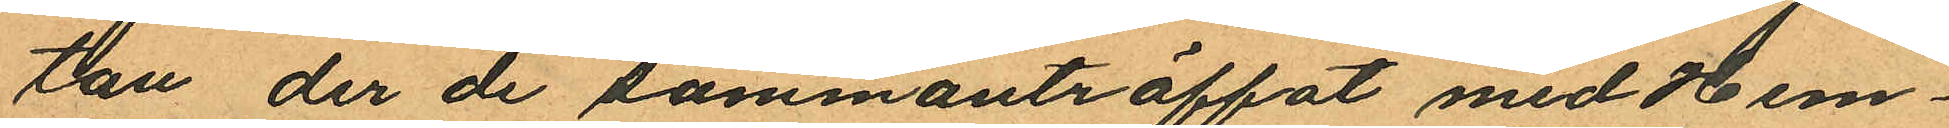tan der de sammanträffat med Hem¬
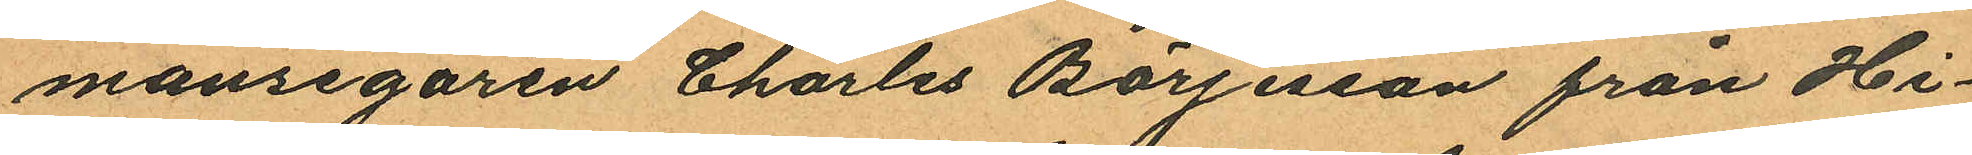mansegaren Charles Börjesson från Hi¬
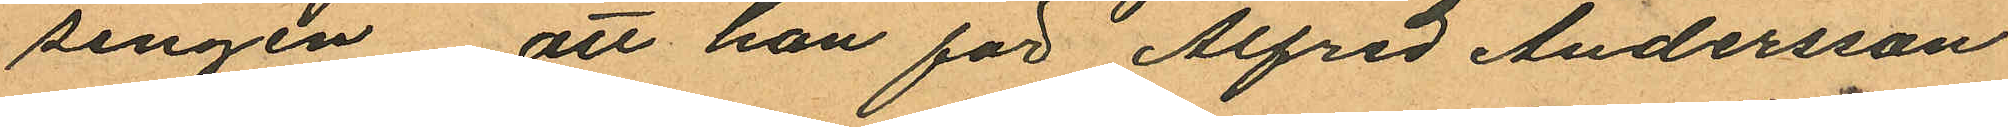singen att han för Alfred Andersson
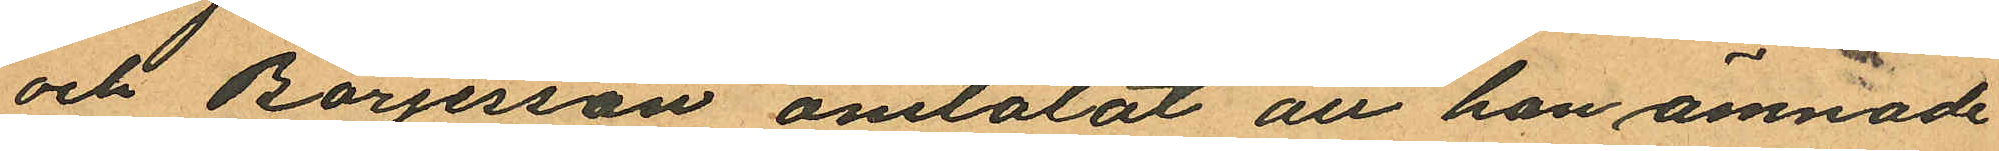och Börjesson omtalat att han ämnade
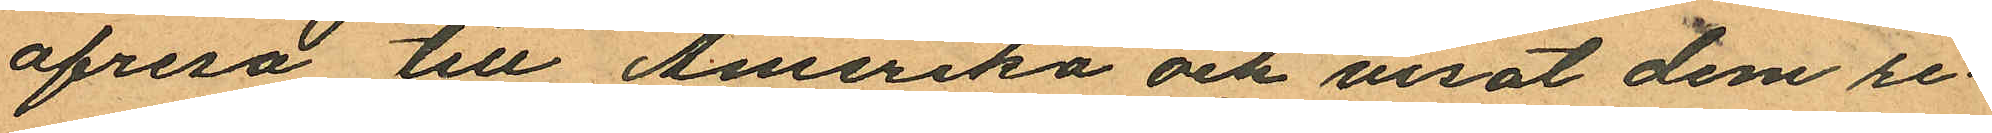afresa till Amerika och visat dem re¬
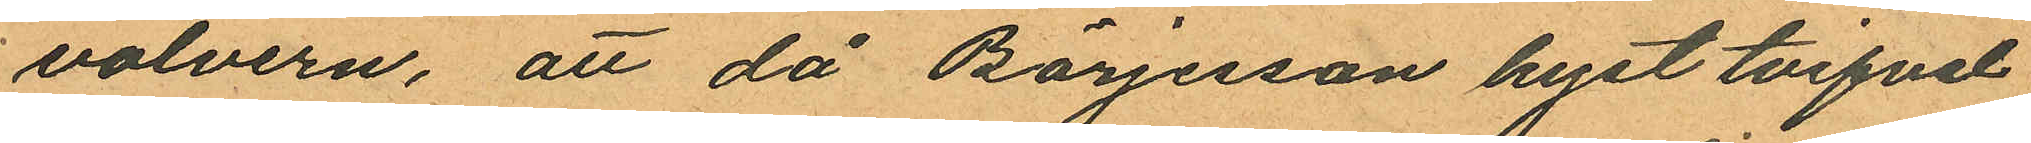volvern, att då Börjesson hyst tvifvel
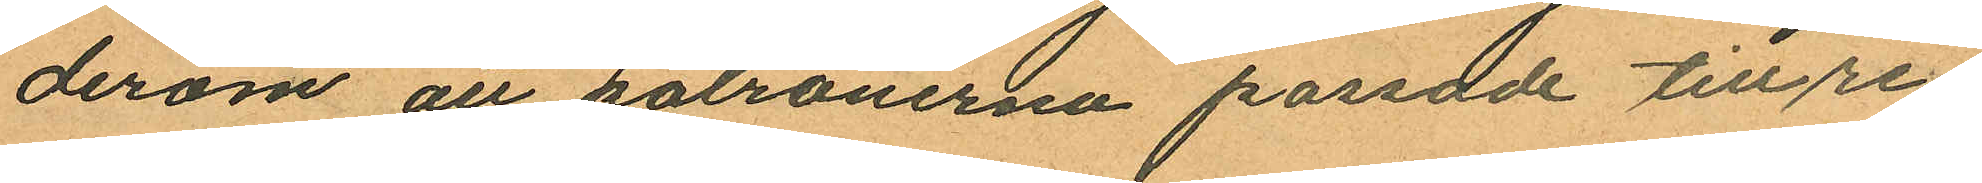derom att patronerna passade till re¬
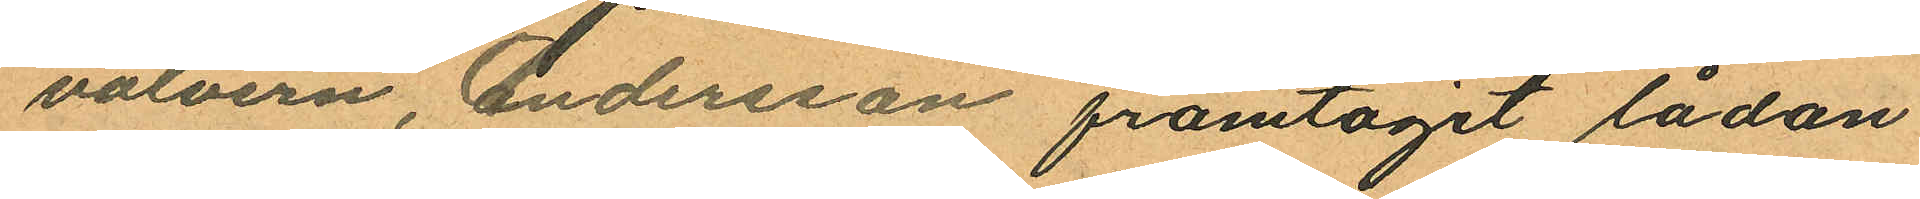volvern, Andersson framtagit lådan
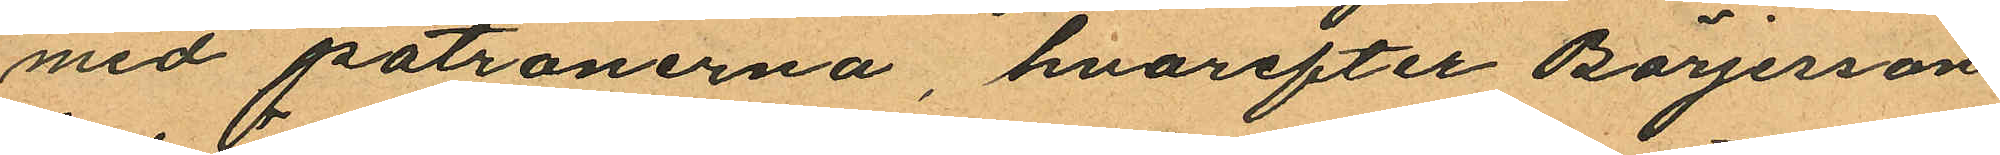med patronerna, hvarefter Börjesson
